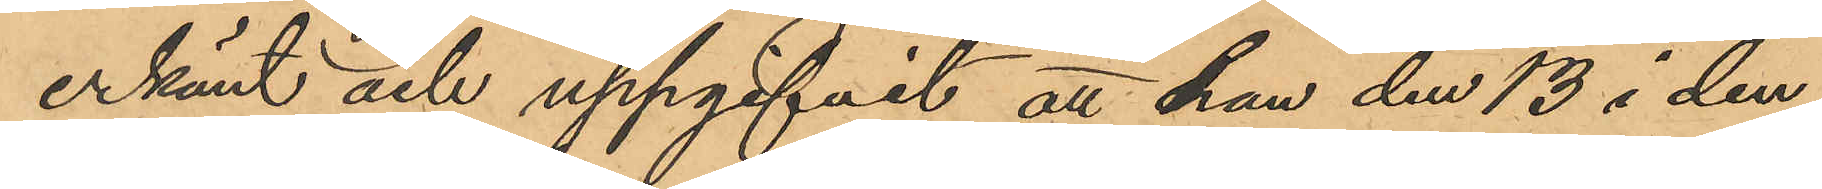erkänt och uppgifvit, att han den 13 i den¬
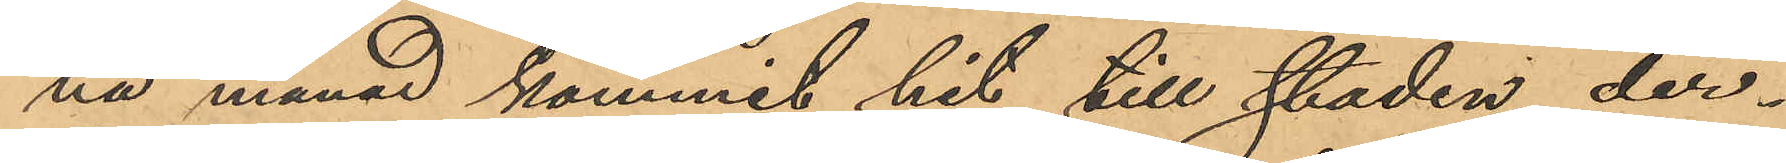na månad kommit hit till staden, der¬
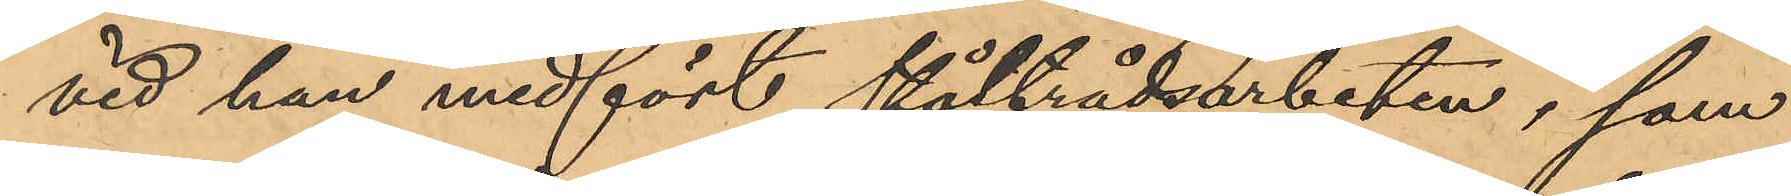vid han medfört ståltrådsarbeten, som
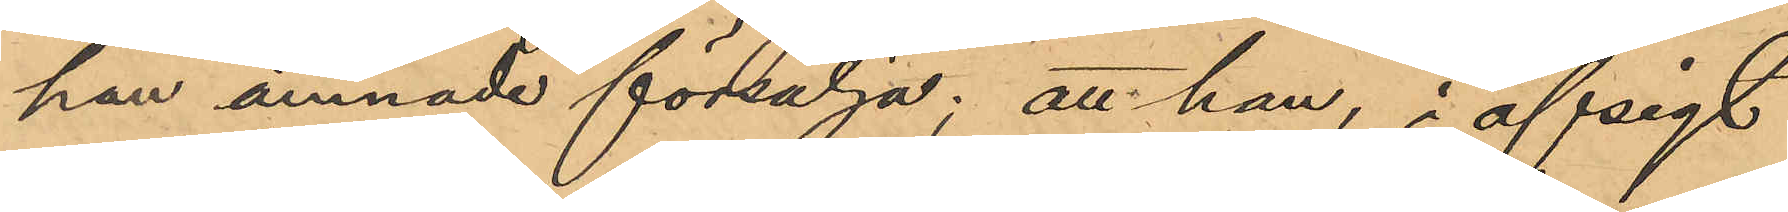han ämnade försälja; att han, i afsigt
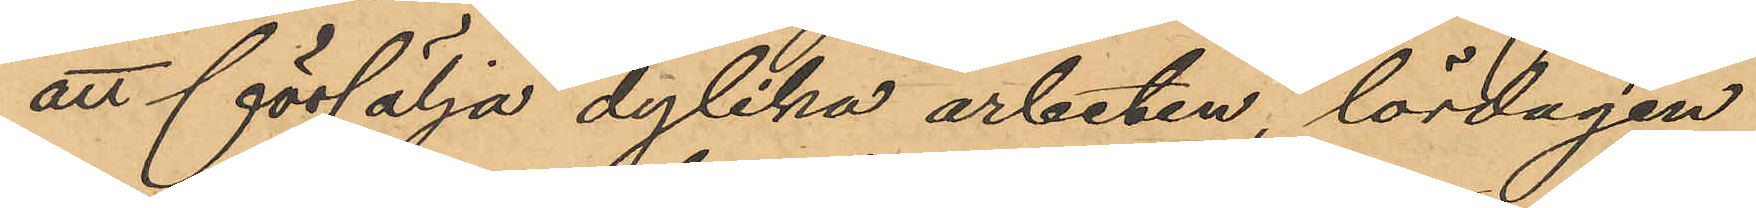att försälja dylika arbeten, lördagen
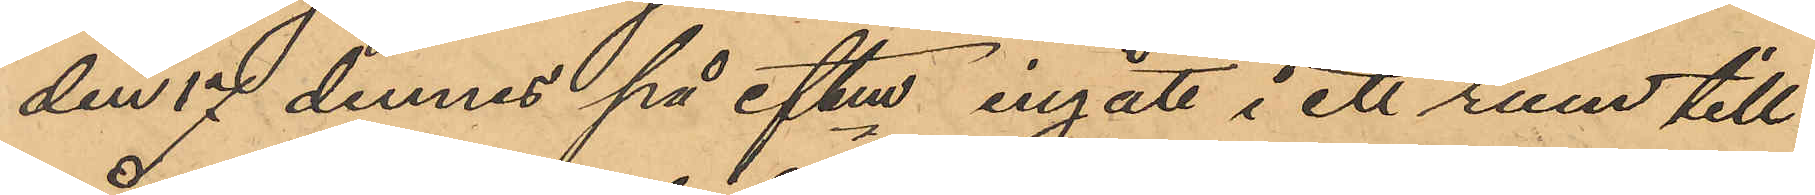den 17 dennes på eftm ingått i ett rum till
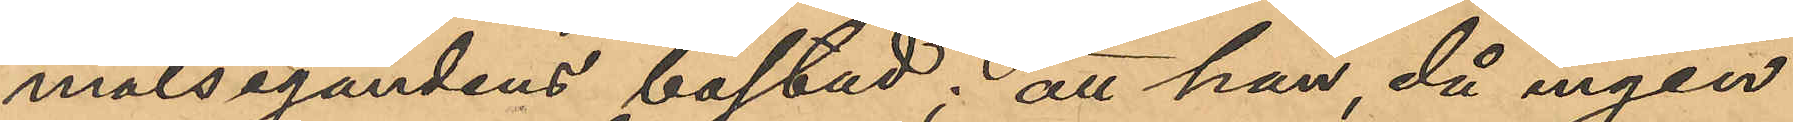målsegandens bostad; att han, då ingen
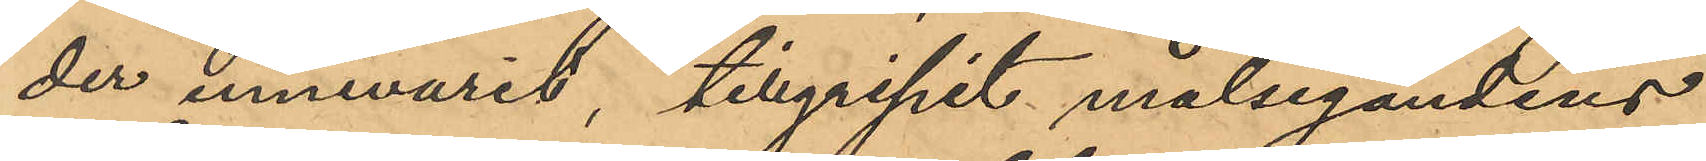der innevarit, tillgripit målsegandens
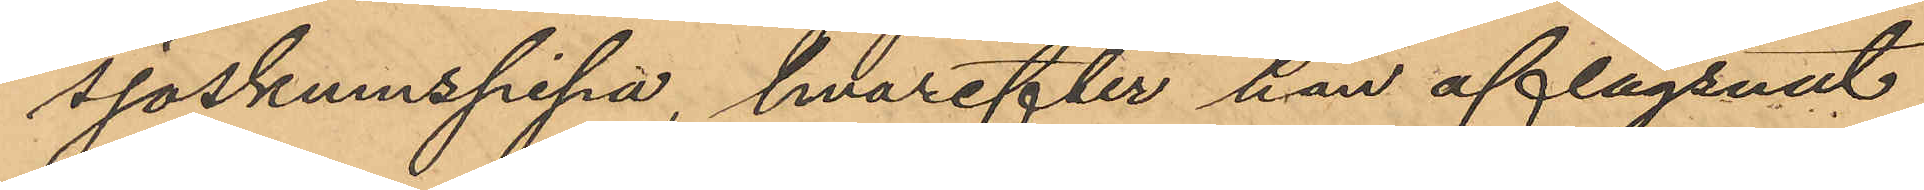sjöskumspipa, hvarefter han aflägsnat
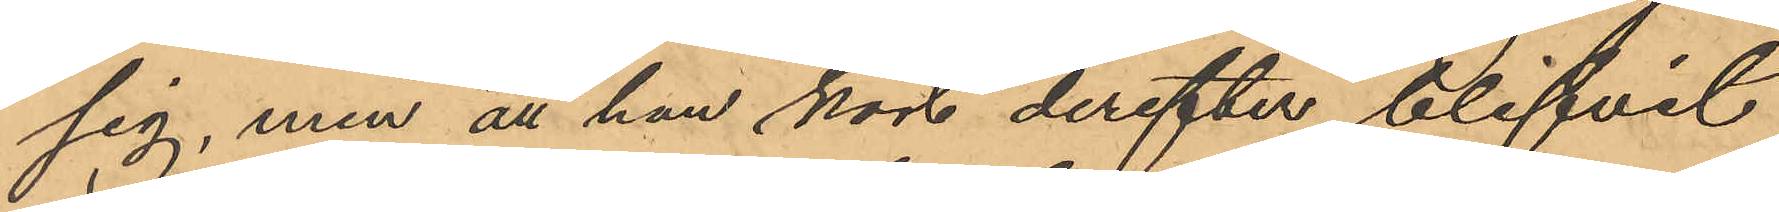sig, men att han kort derefter blifvit
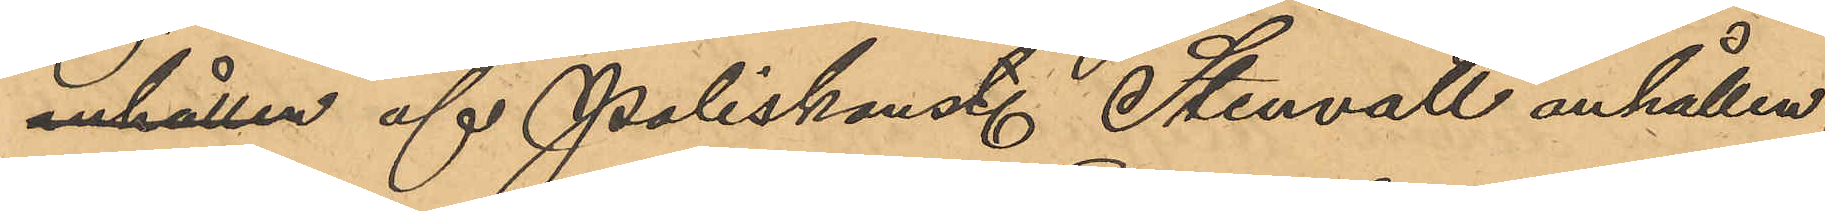anhållen af Poliskonst. Stenvall anhållen.
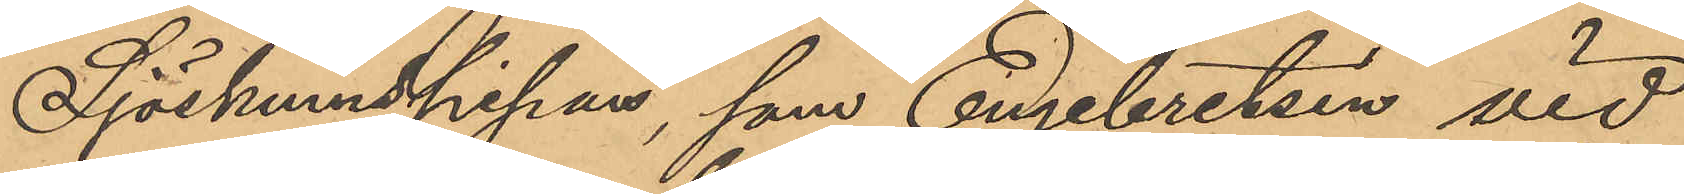Sjöskumspipan, som Engebretsen vid
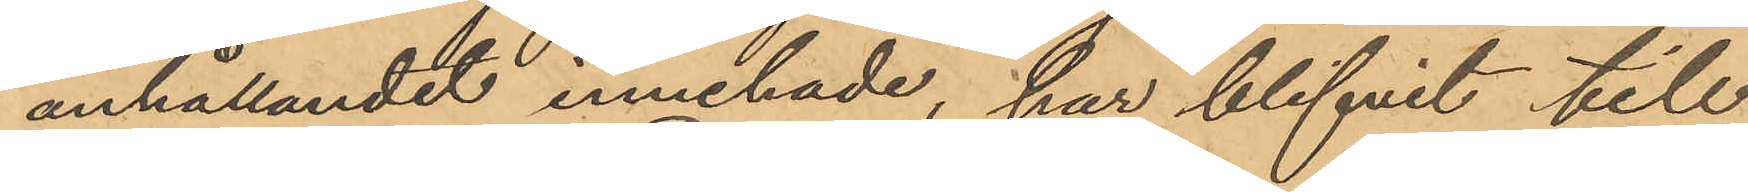anhållandet innehade, har blifvit till
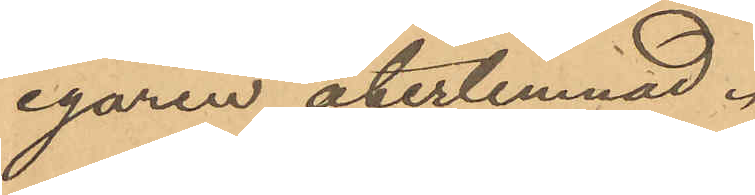egaren återlemnad.
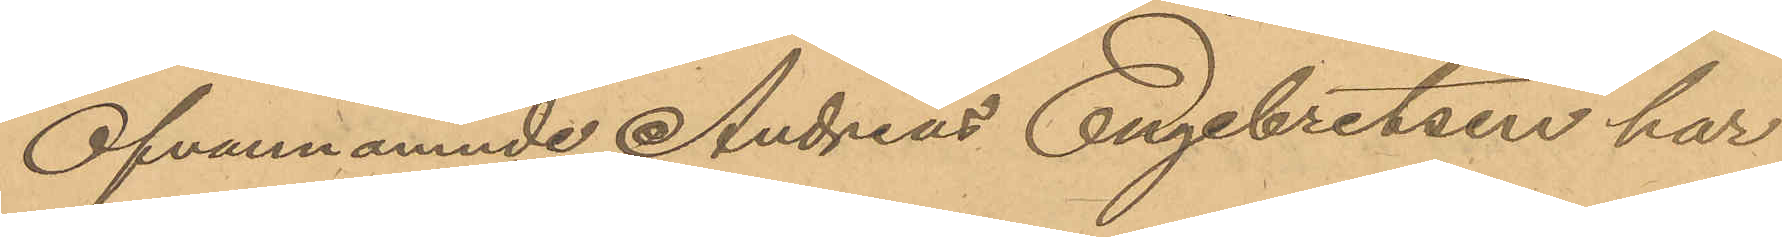Ofvannämnde Andreas Engebretsen har
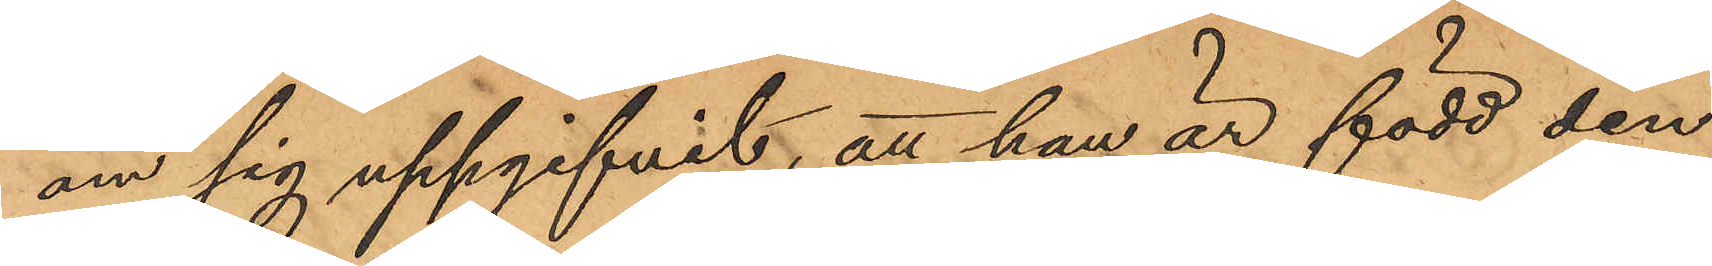om sig uppgifvit, att han är född den
